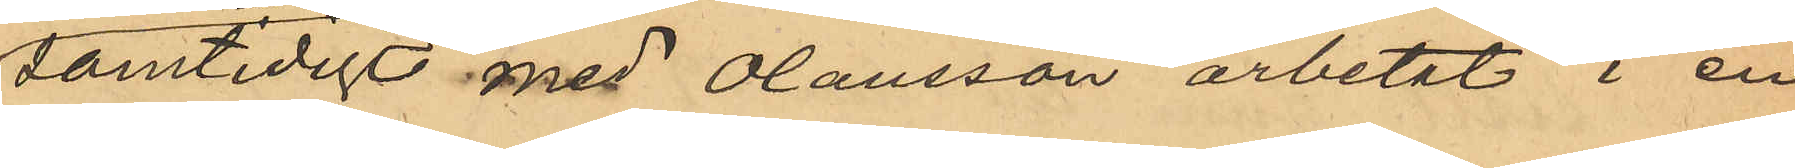samtidigt med Olausson arbetat i en
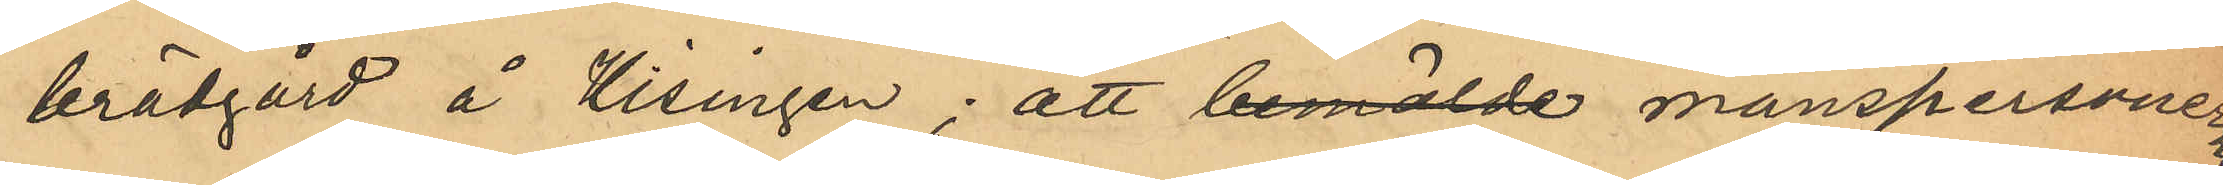brädgård å Hisingen; att bemälde manspersonerna
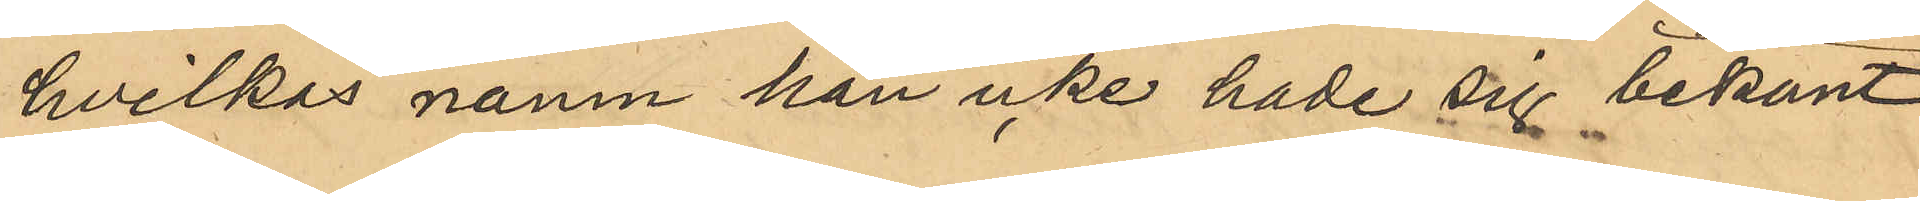hvilkas namn han icke hade sig bekant
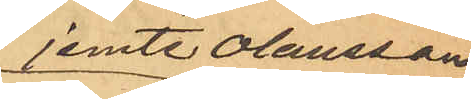jemte Olausson
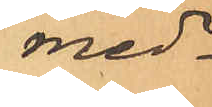med¬
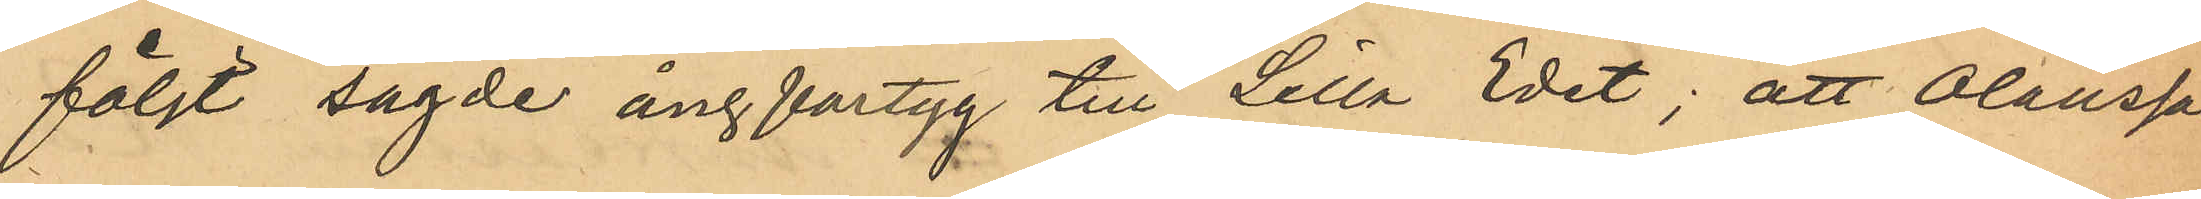följt sagde ångfartyg till Lilla Edet; att Olausson
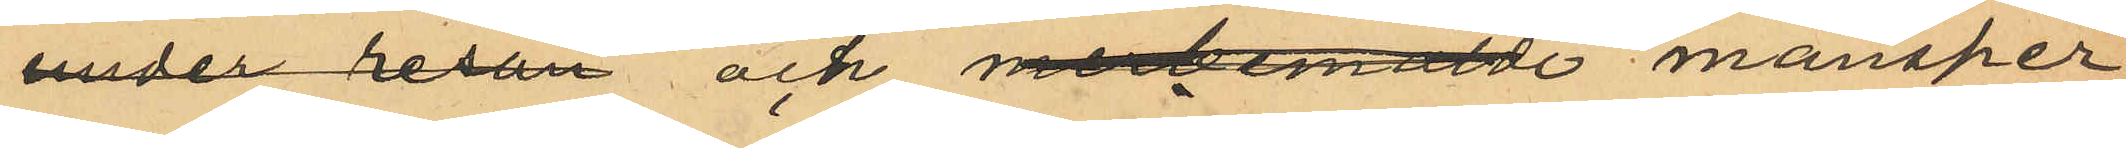under resan och med bemälde mansper¬
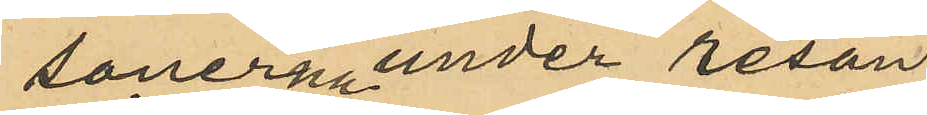sonerna under resan
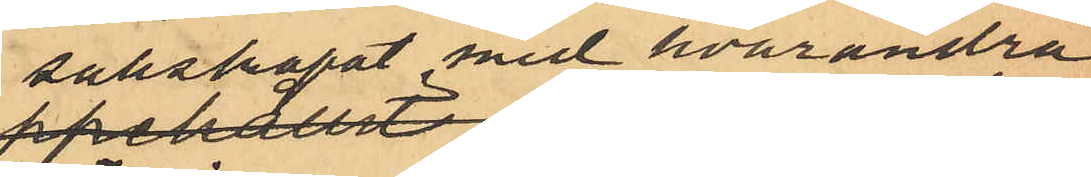sällskapat med hvarandra
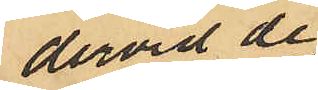dervid de
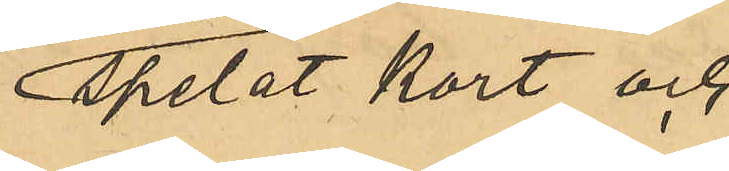spelat kort och
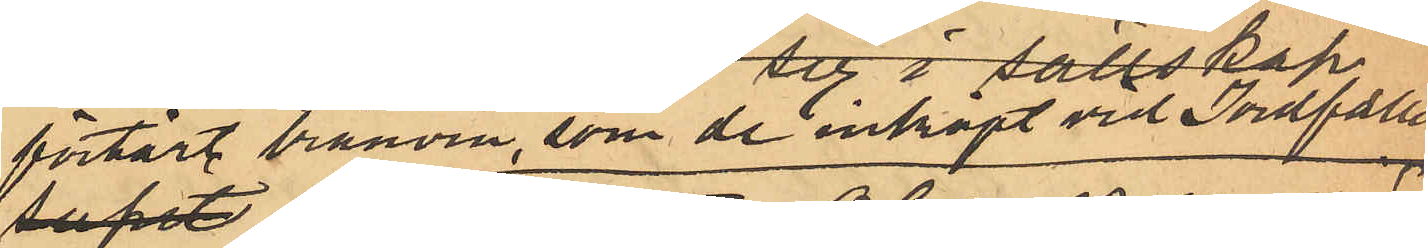förtärt brännvin, som de inköpt vid Jordfallet;
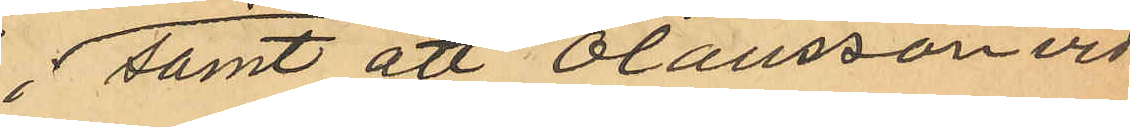samt att Olausson vid
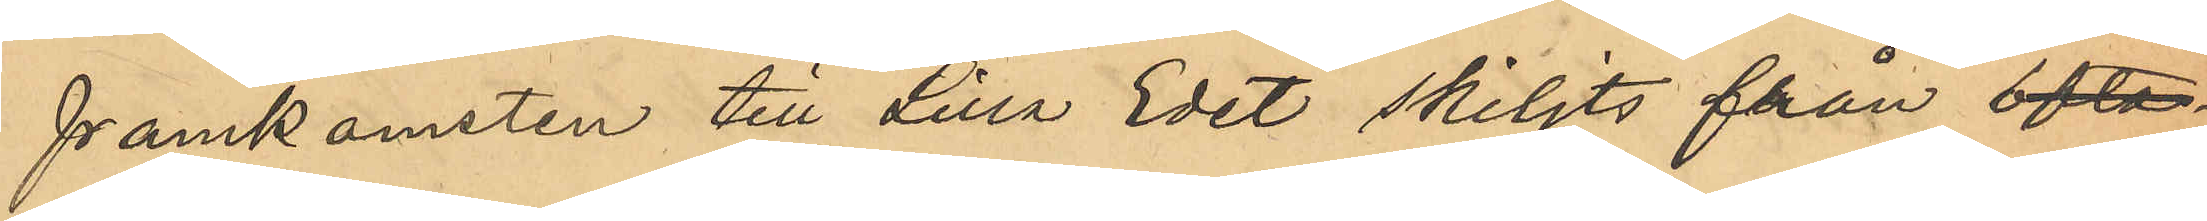framkomsten till Lilla Edet skiljts från ofta¬
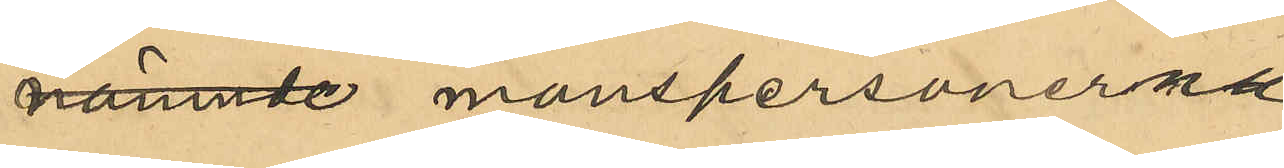nämnde manspersonerna
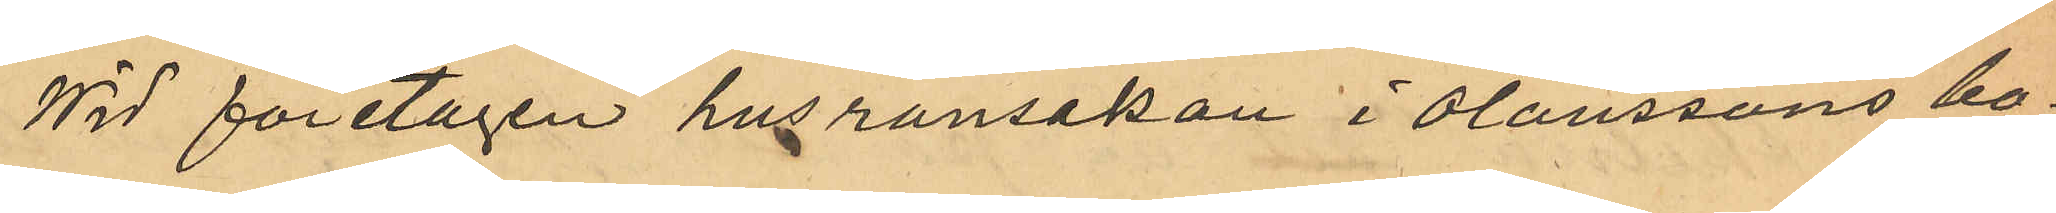Wid företagen husrannsakan i Olaussons bo¬
